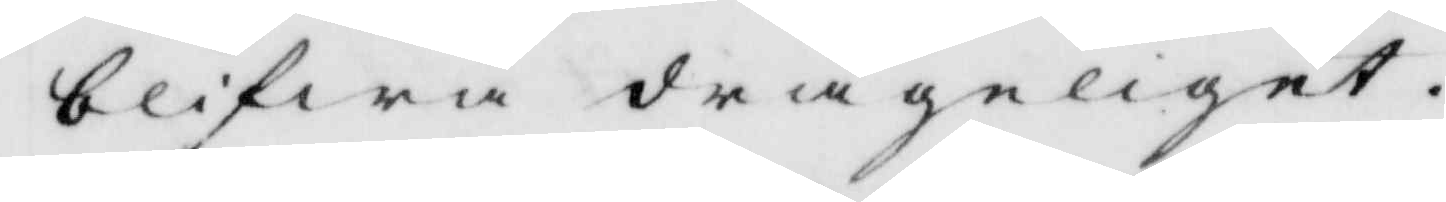blifwa drägeliget.
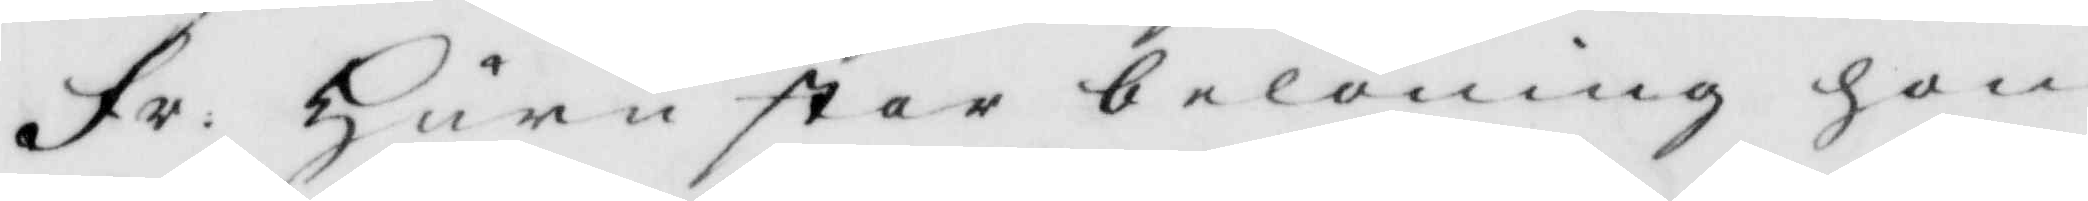Fr: huru stor belöning hon
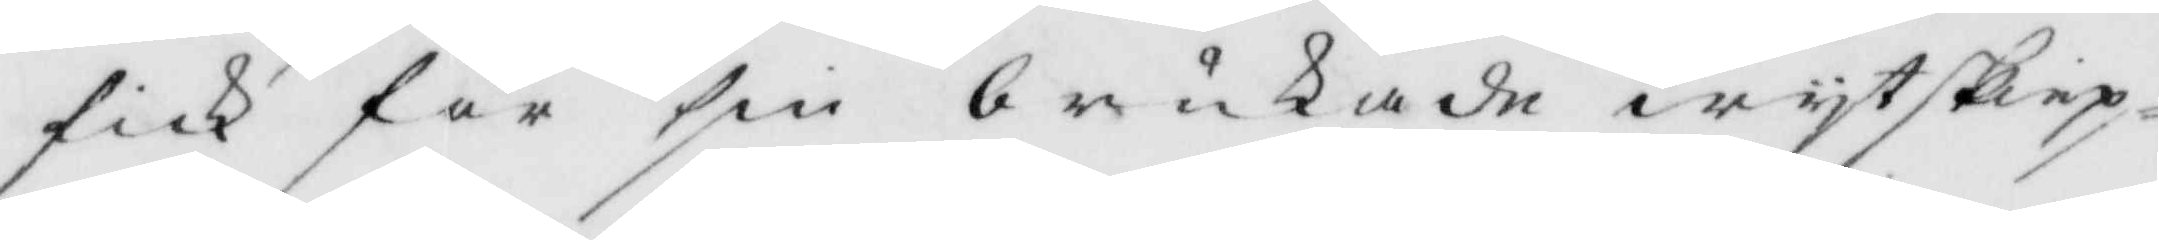fick för sin brukade wytskiep¬
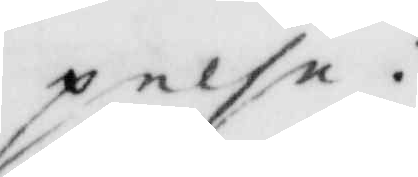pelse?
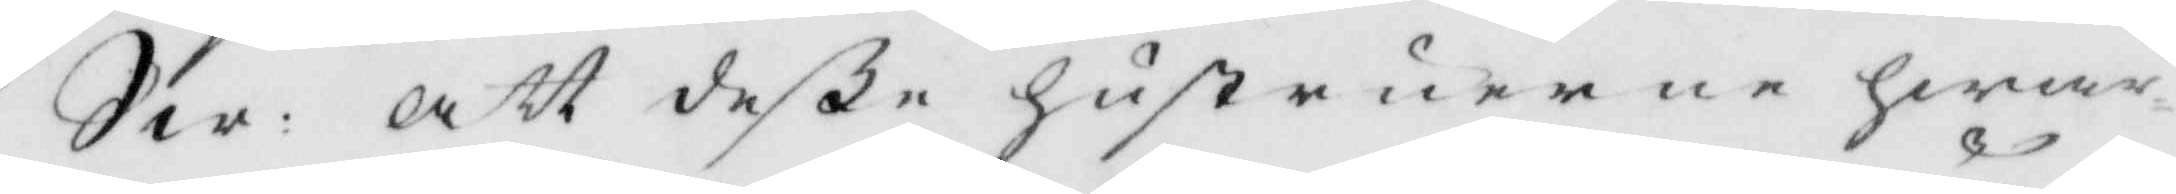Sw: att deße hustrurne hwar¬
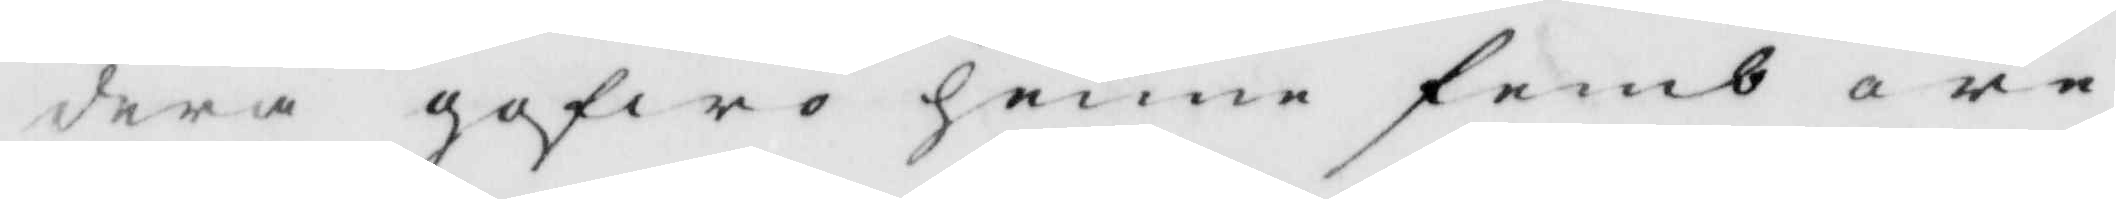dera gofwo henne femb öre
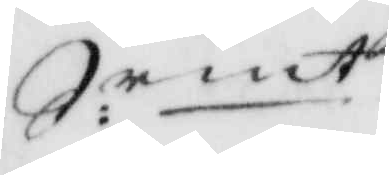S:rmt.
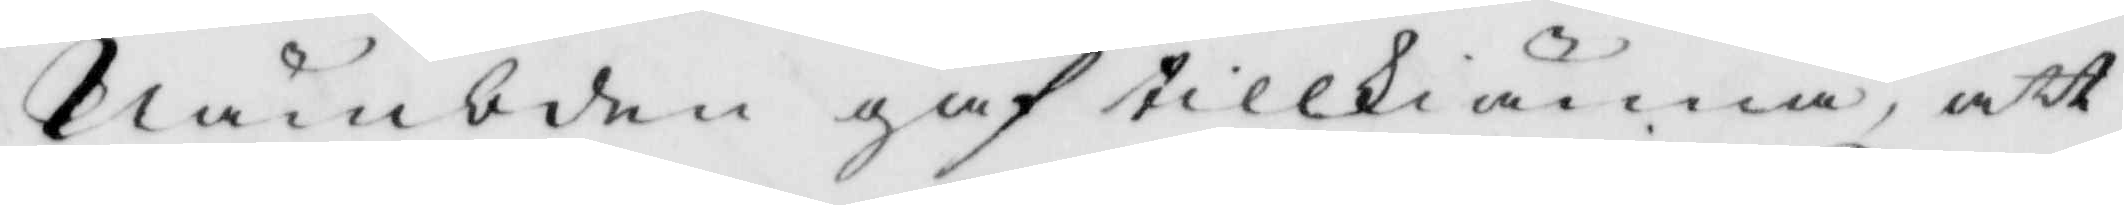Nämbden gaf tillkiänna, att
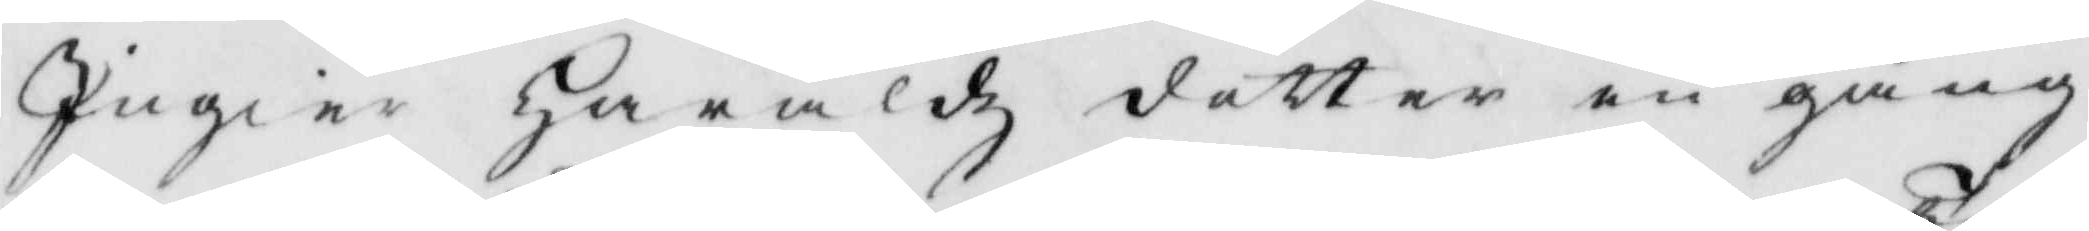Ingier Haraldz dotter en gång
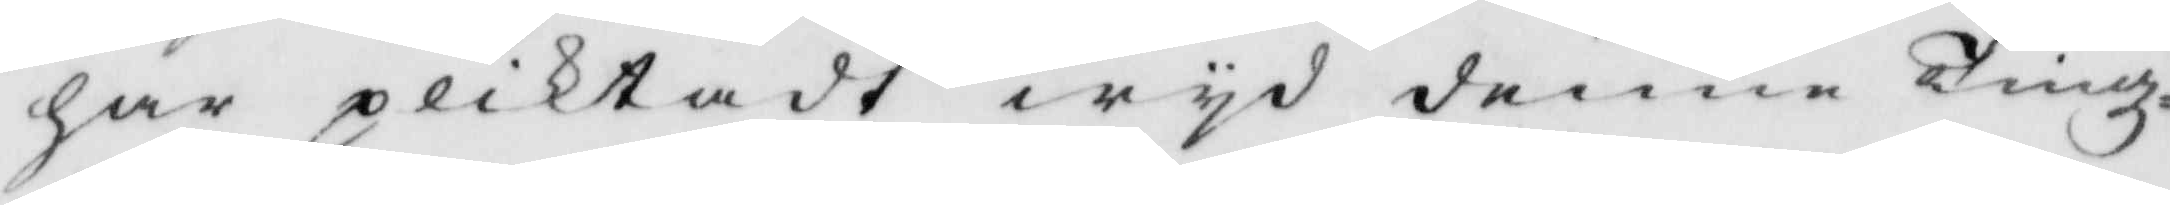har pliktat wyd denne Tingz¬
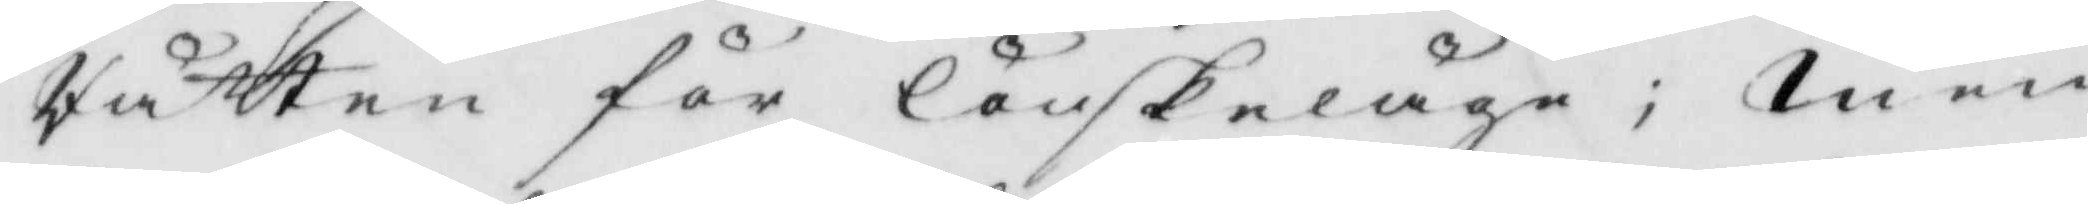Rätten för lönskeläge: Men
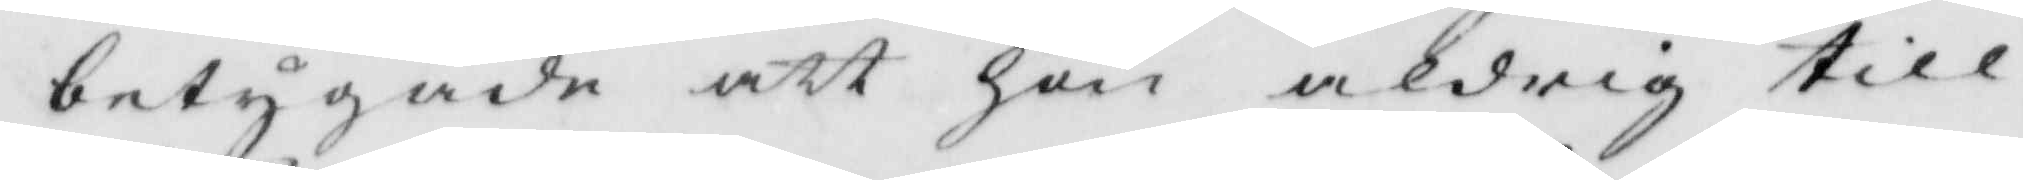betygade att hon aldrig till¬
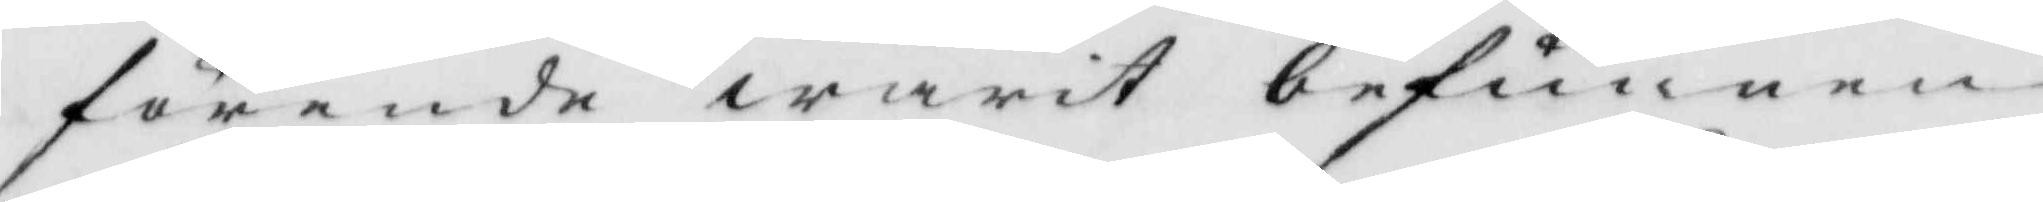förende warit befunnen
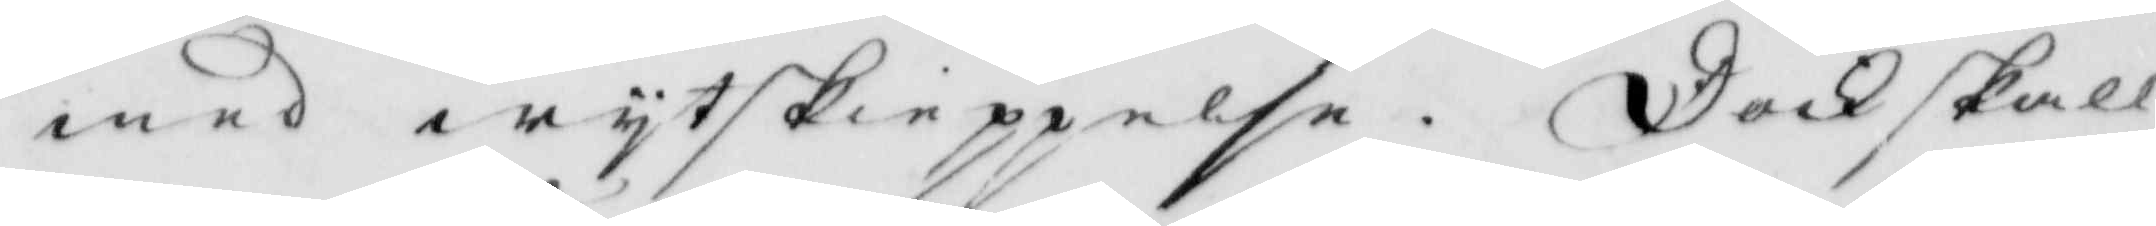med wytskieppelse. Dock skall
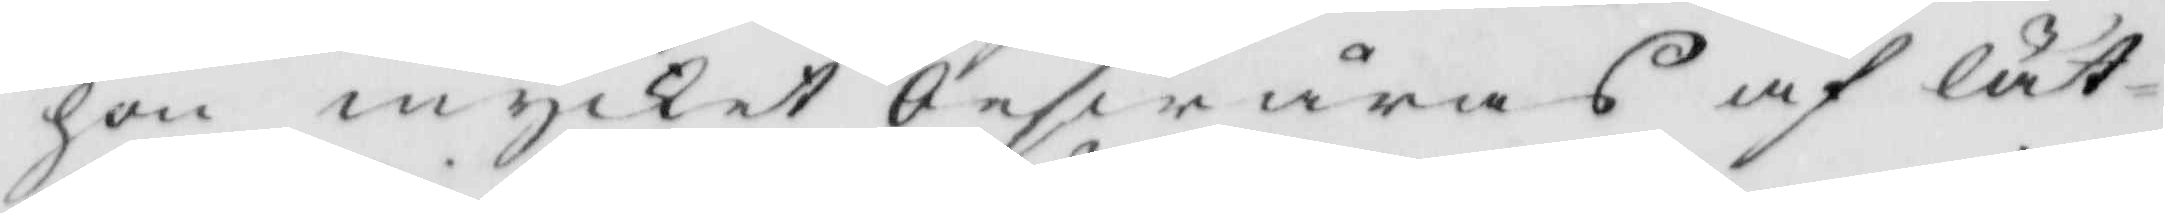hon mycket beswåras af lät¬
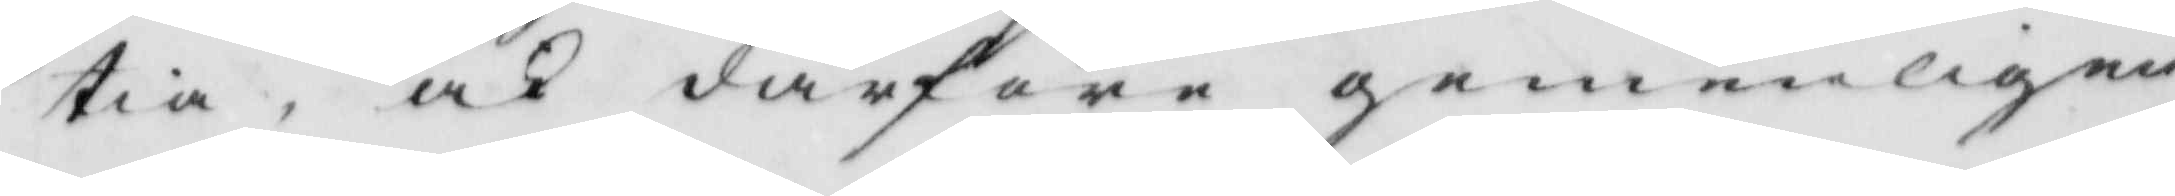tia, ock därföre gemenligen
